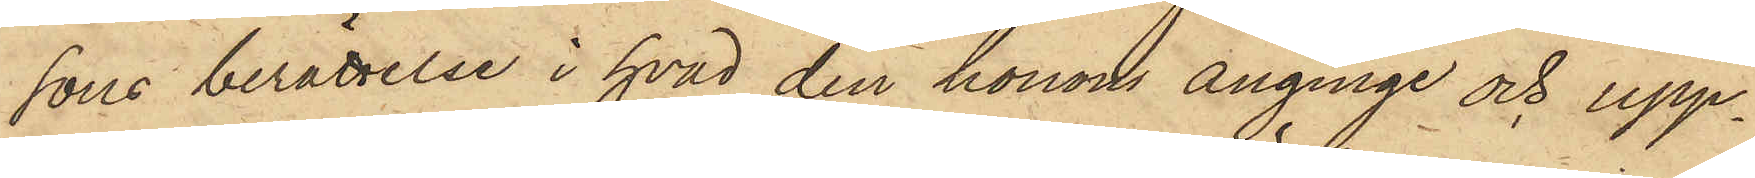sons berättelse i hvad den honom anginge och upp¬
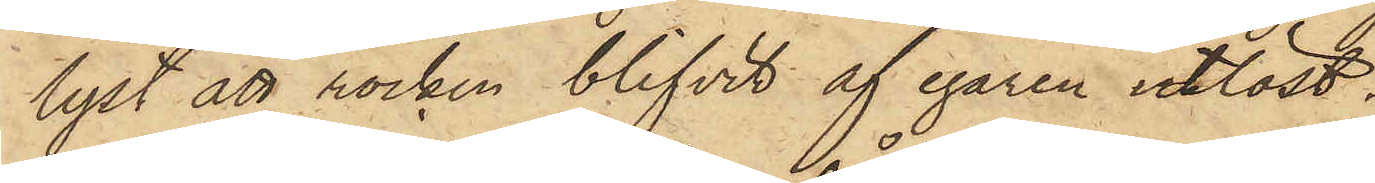lyst att rocken blifvit af egaren utlöst.
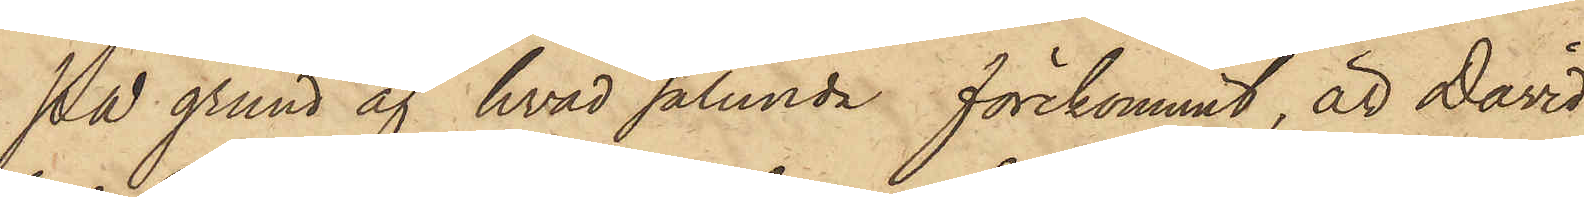På grund af hvad sålunda förekommit, är David
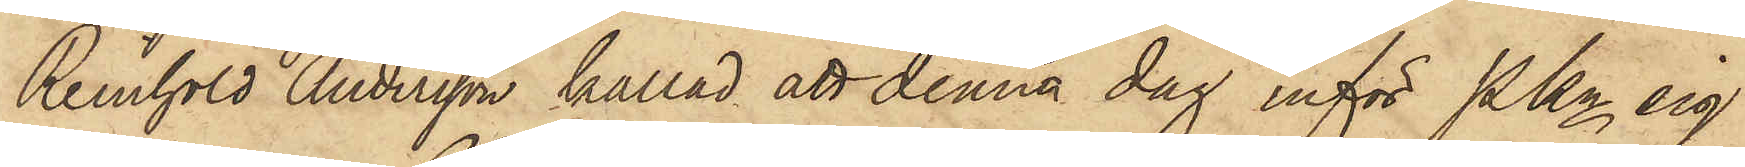Reinhold Andersson kallad att denna dag inför Pkn sig
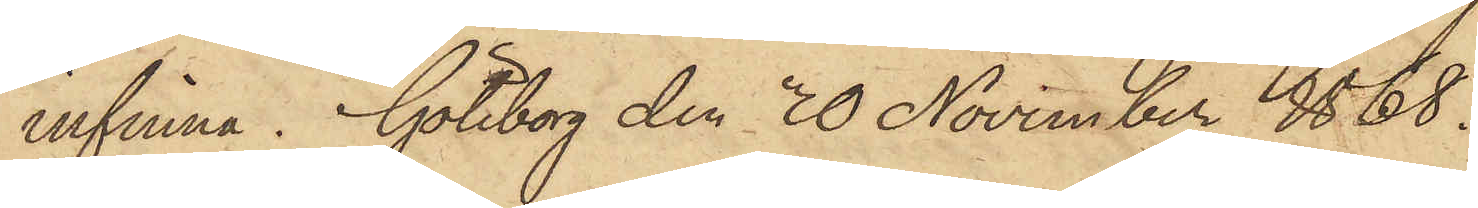infinna. Göteborg den 30 November 1868.
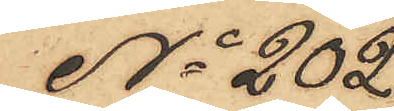No 202
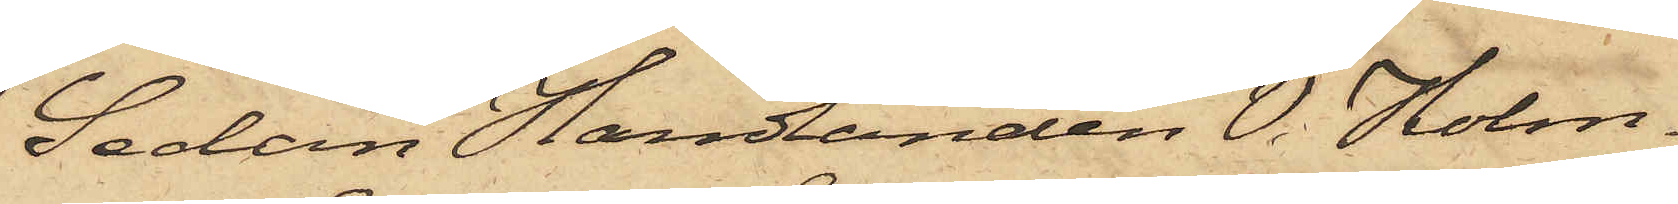Sedan Handlanden V. Holm¬
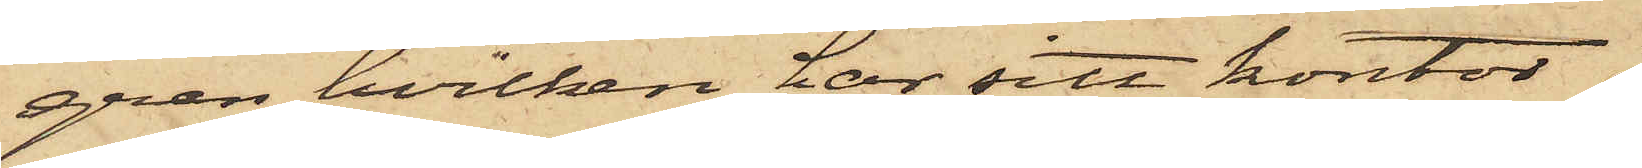gren, hvilken har sitt kontor
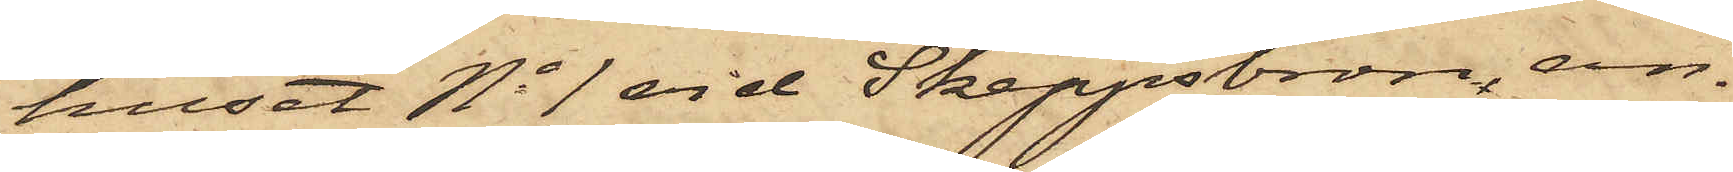huset No 1 vid Skeppsbron, an¬
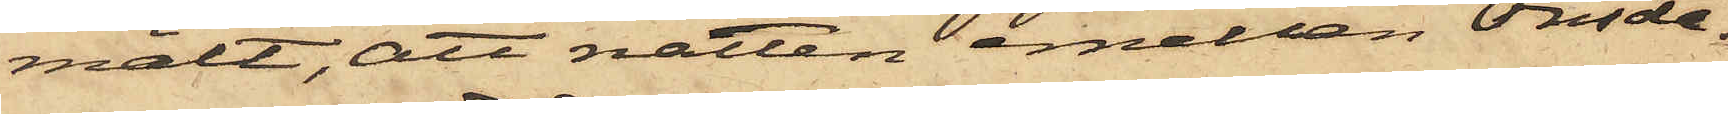mält, att natten emellan Onsda¬
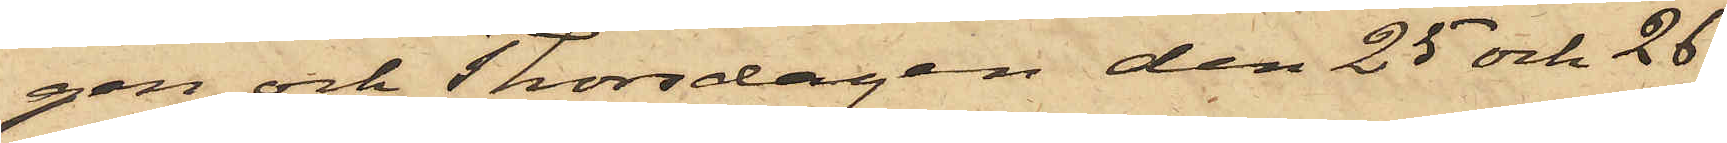gen och Thorsdagen den 25 och 26
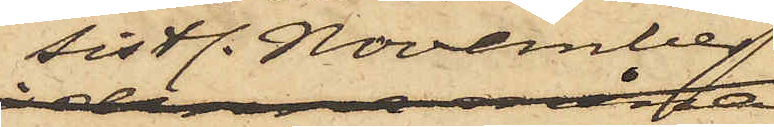sistl. November
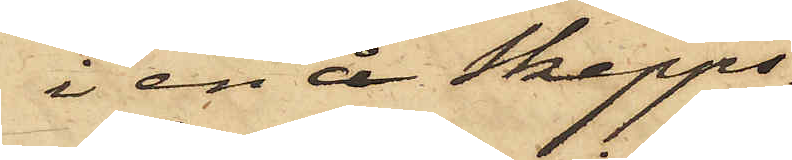i en å Skepps¬
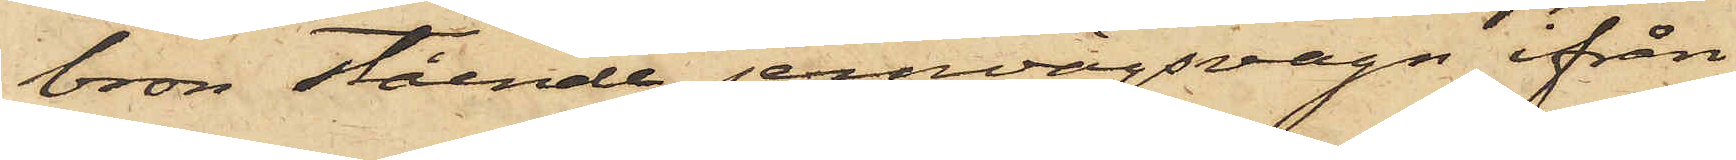bron stående jernvägsvagn ifrån
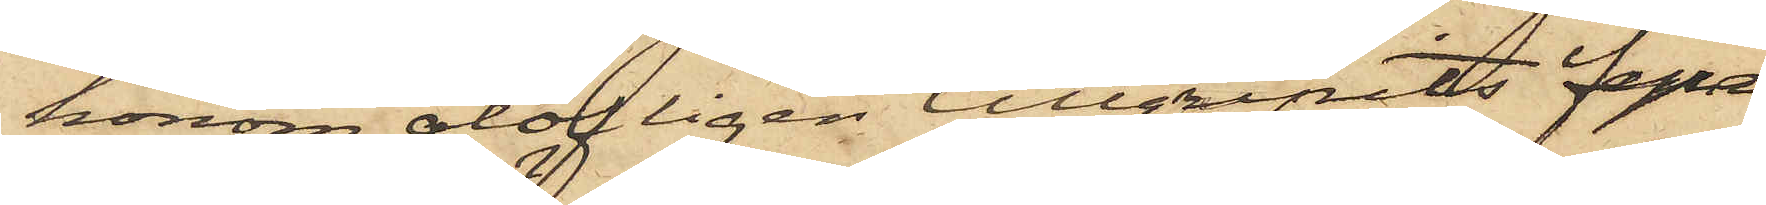honom olofligen tillgripits fyra
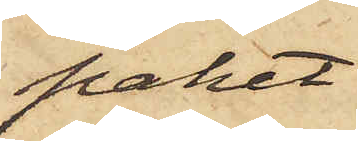paket
